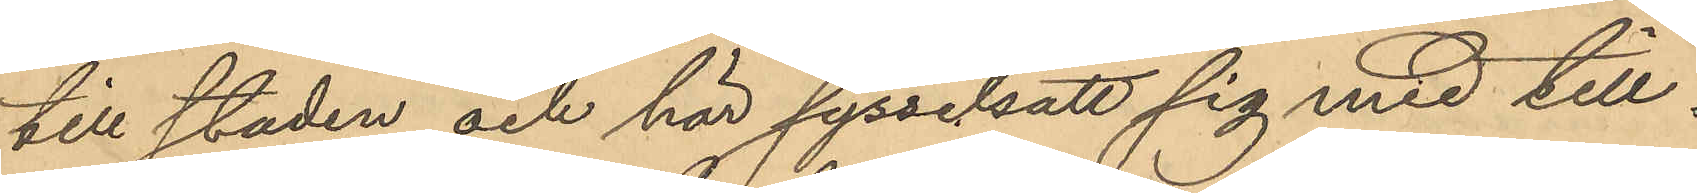till staden och här sysselsatt sig med till¬
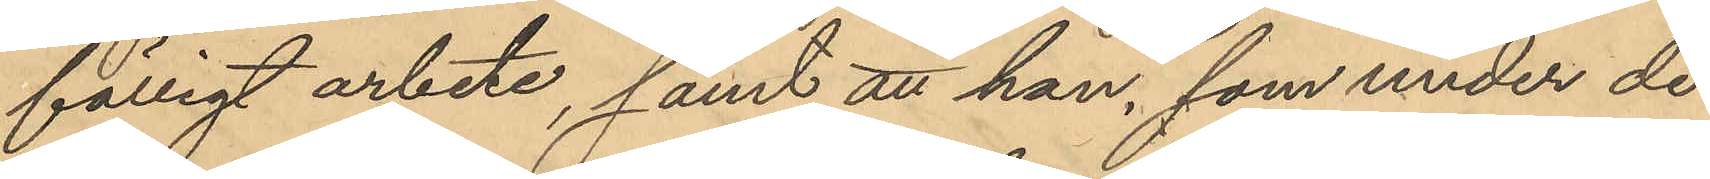fälligt arbete, samt att han, som under de
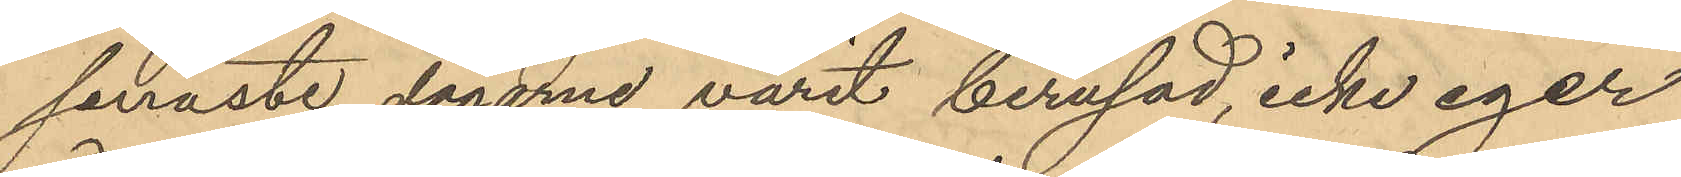senaste dagarne varit berusad, icke eger
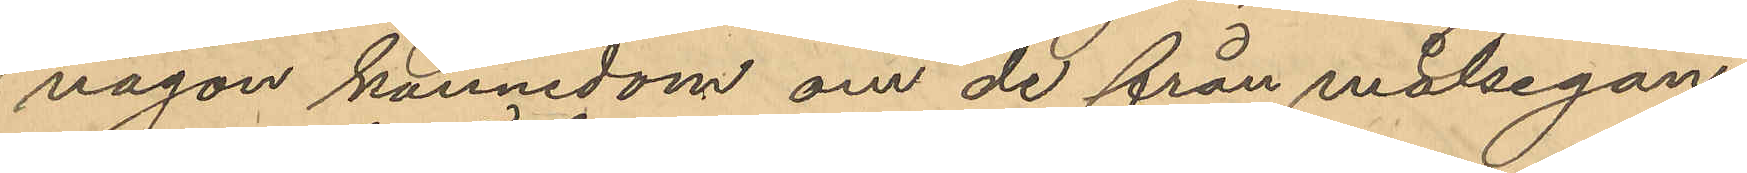någon kännedom om de från målsegan¬
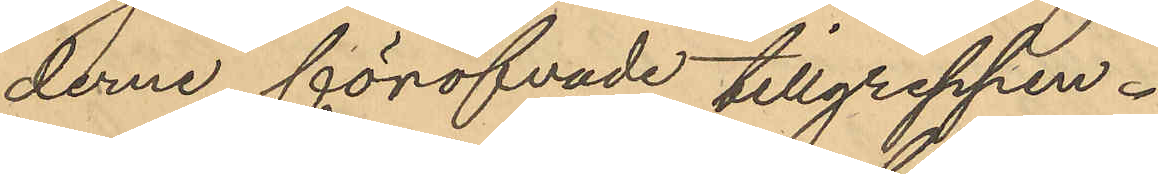derne föröfvade tillgreppen.
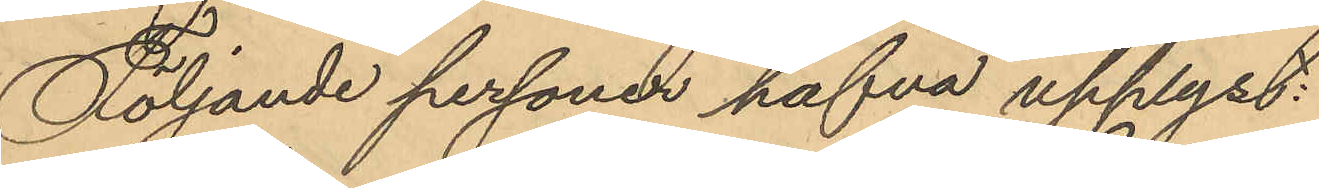Följande personer hafva upplyst:
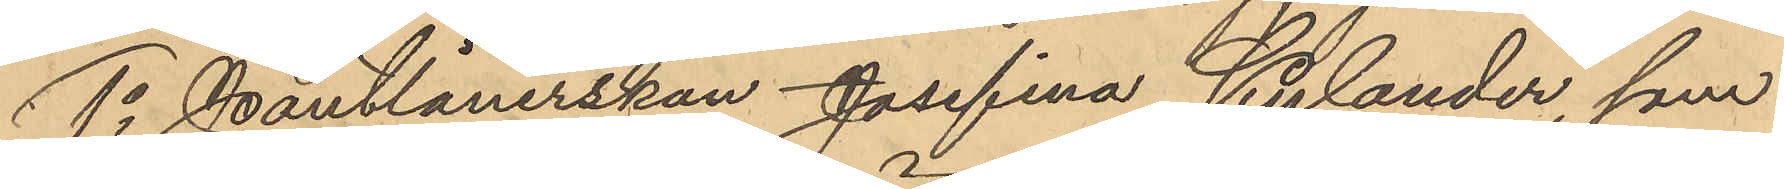1o Pantlånerskan Josefina Kylander, som
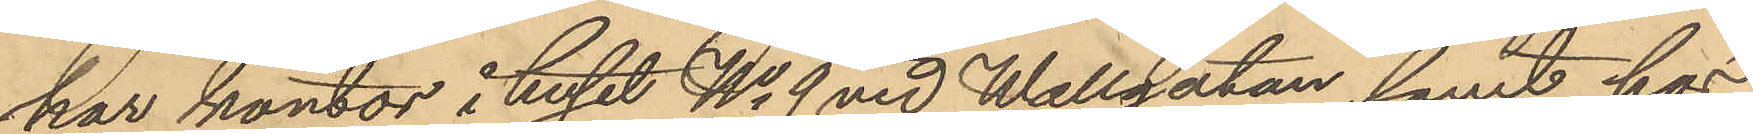har kontor i huset No 9 vid Wallgatan samt hos
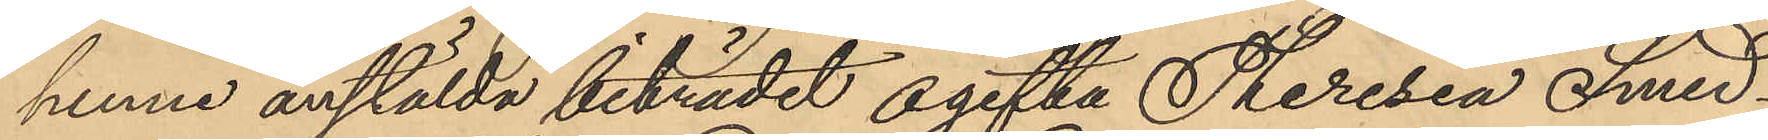henne anstälda biträdet ogifta Theresia Smed¬
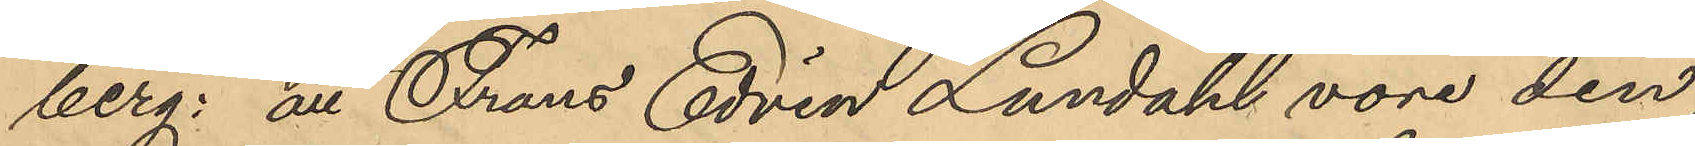berg; att Frans Edvin Lundahl vore den
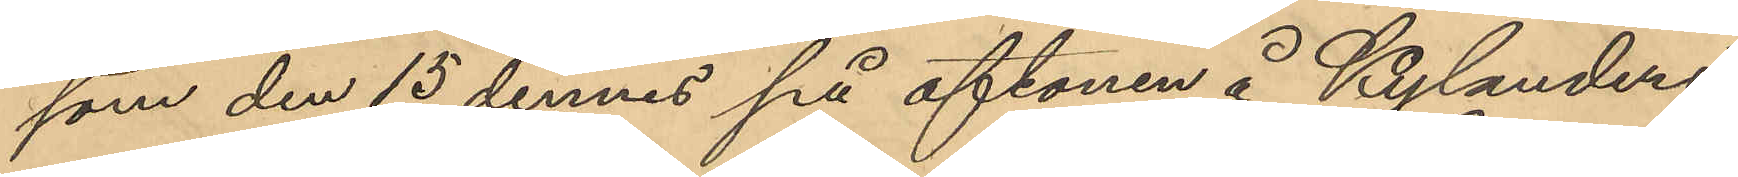som den 15 dennes på aftonen å Kylanders
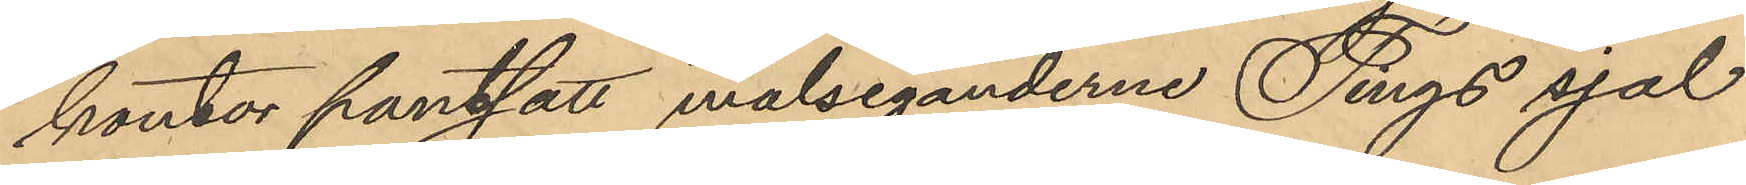kontor pantsatt målseganderne Tings sjal
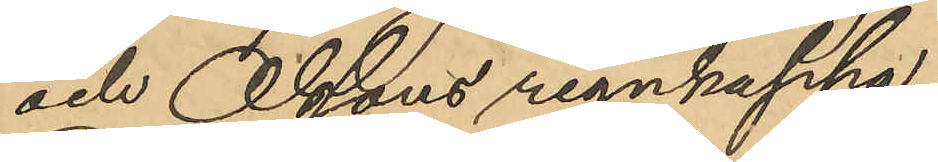och Olssons regnkappa
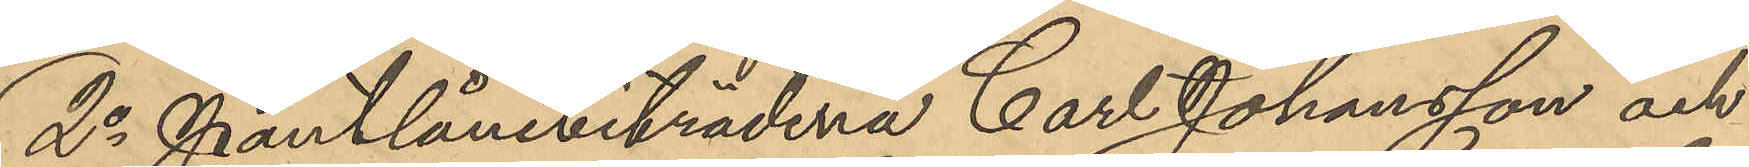2o Pantlånebiträdena Carl Johansson och
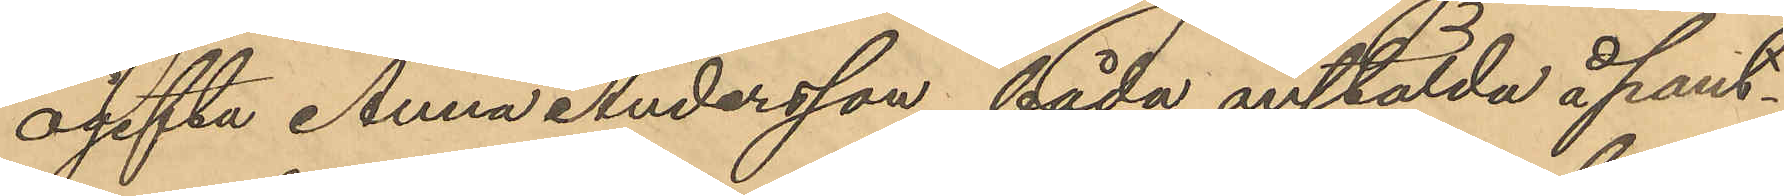ogifta Anna Andersson, båda anstälda å pant¬
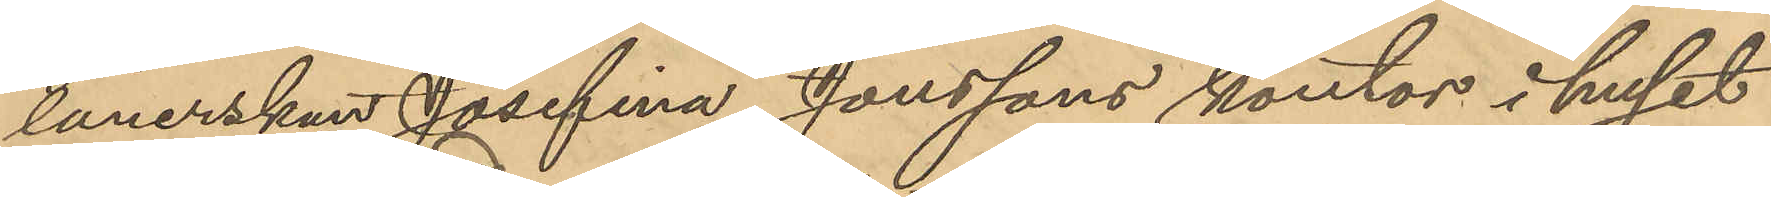lånerskan Josefina Jonssons kontor i huset
